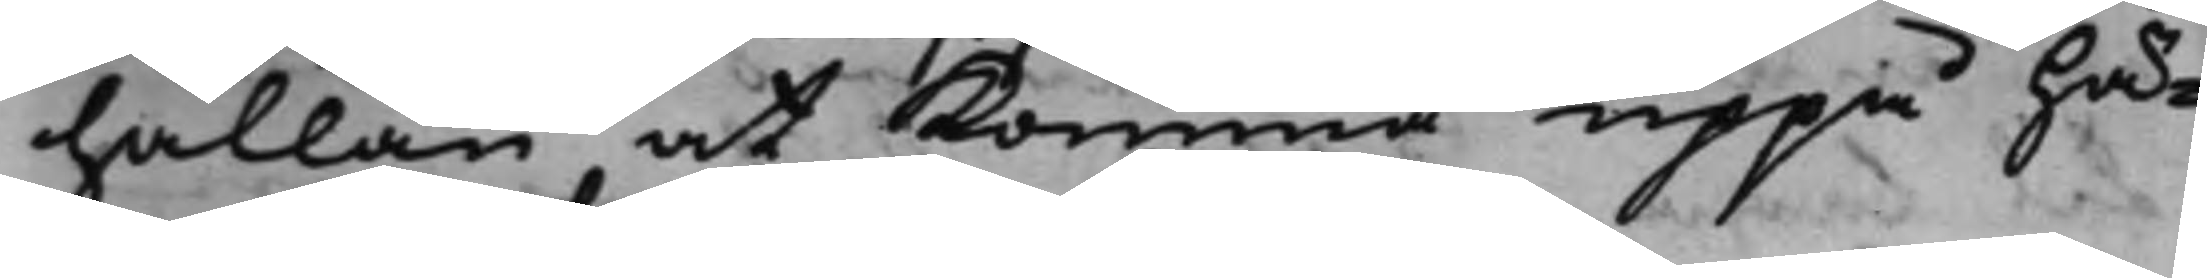hållan at komma uppå Hä¬
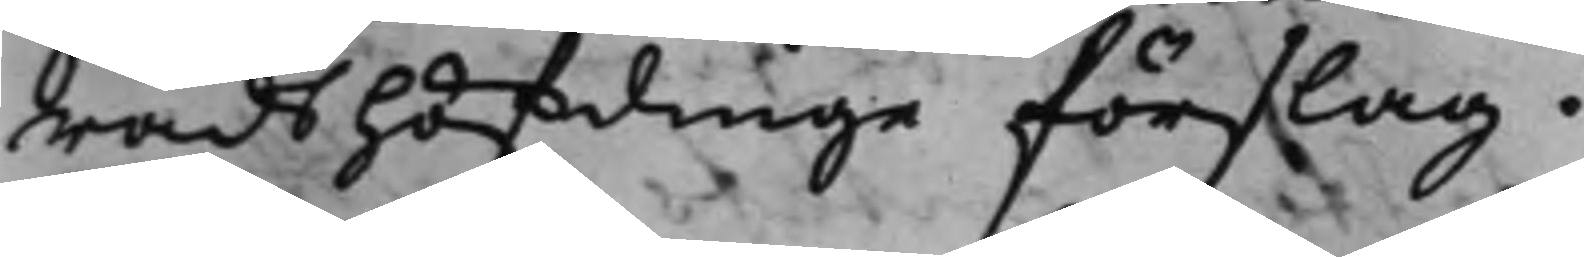radsHöfdinge förslag,
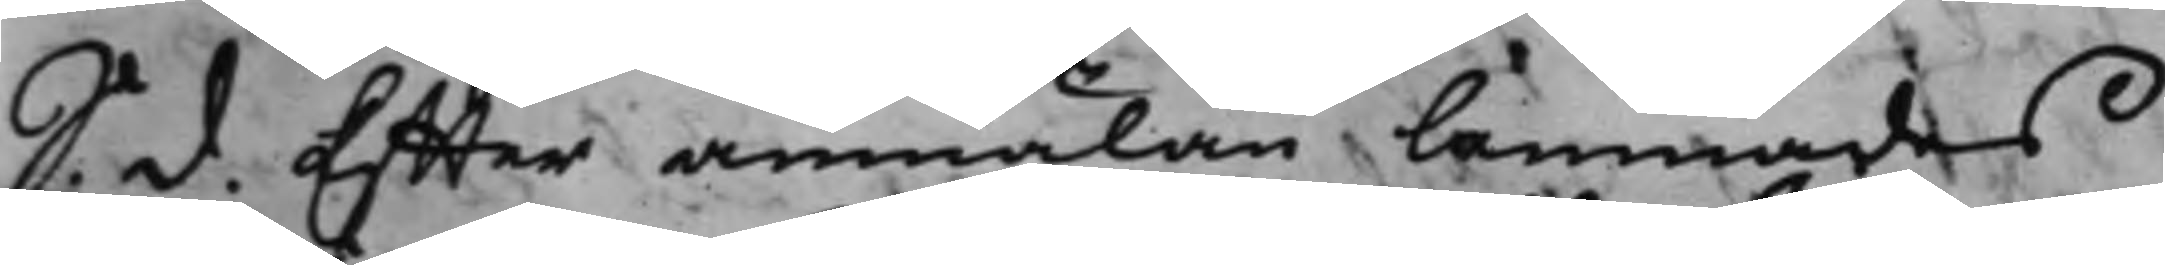S. d. Effter anmälan lämnades
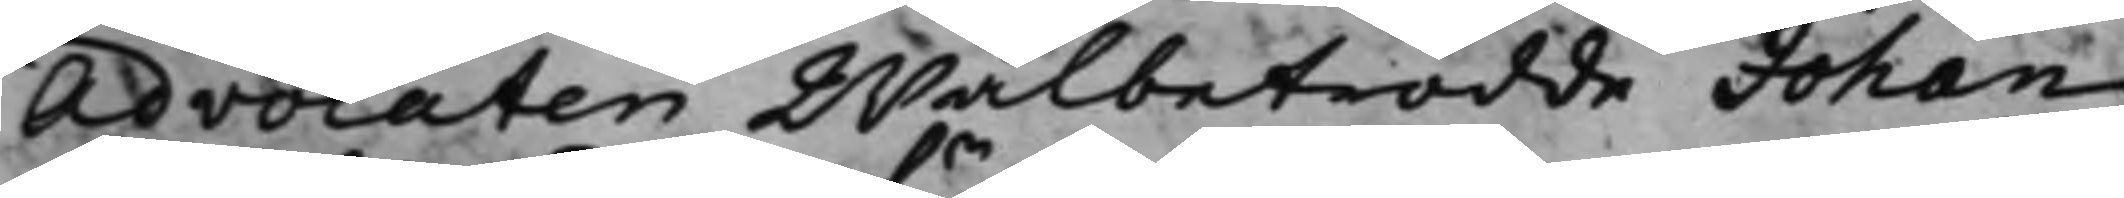Advocaten Wälbetrodde Johan
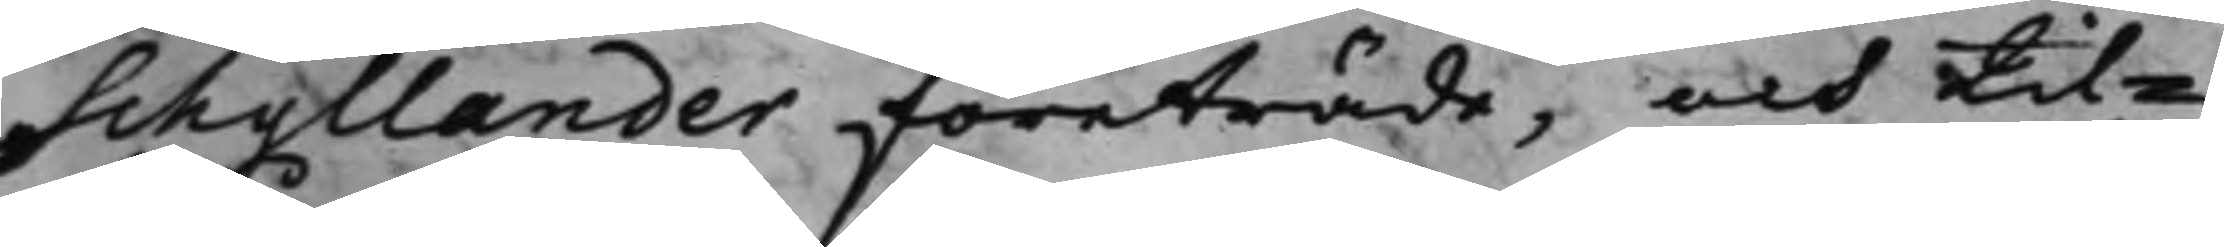Schyllander företräde, och til¬
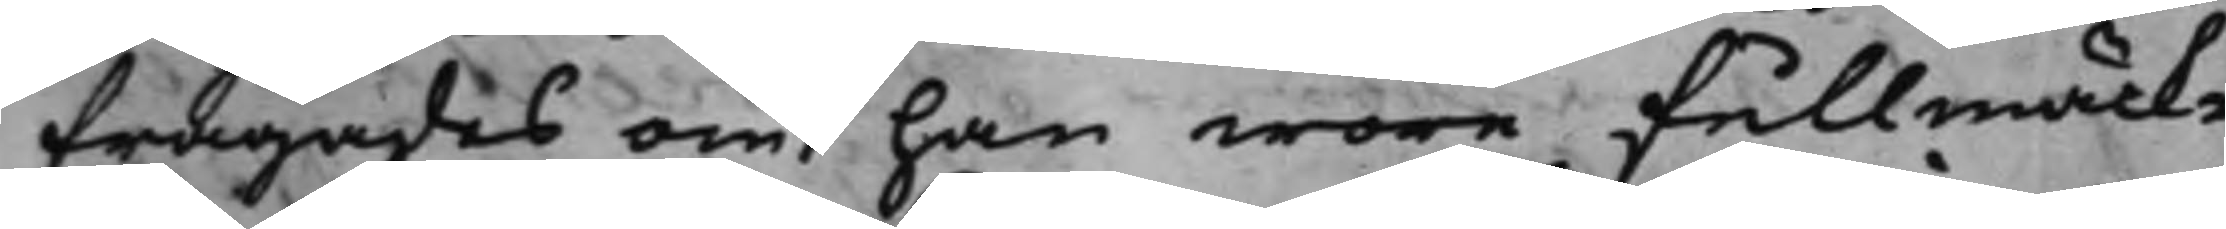frågades om han wore fullmäck¬
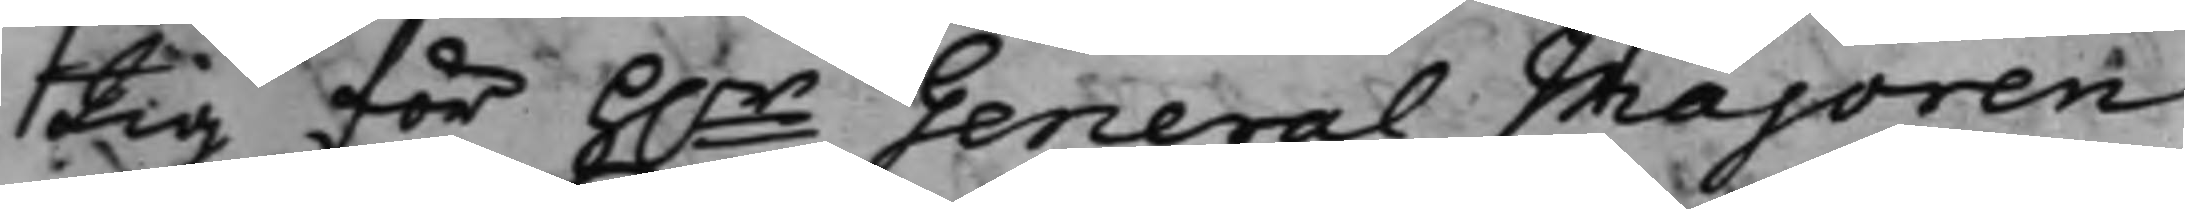tig för h.r General Majoren
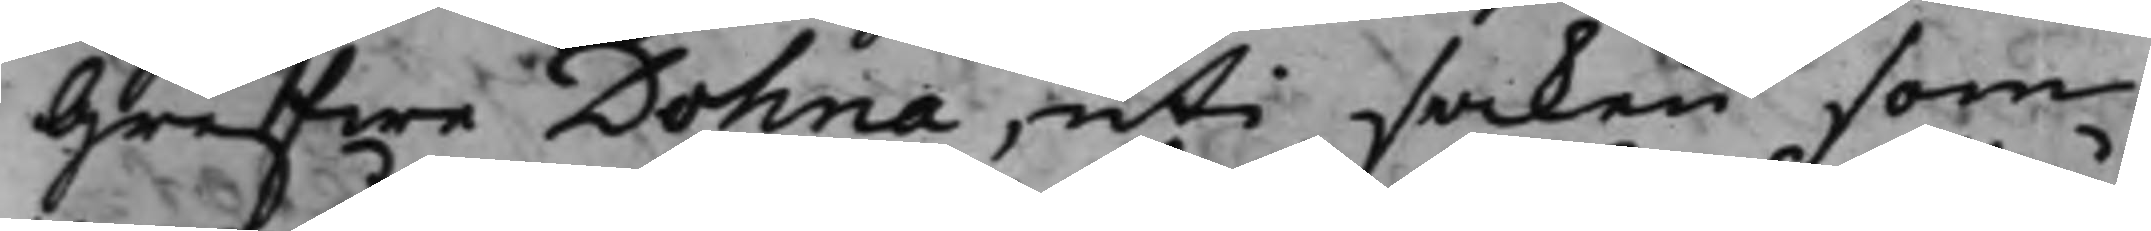Grefwe Dohna, uti saken som
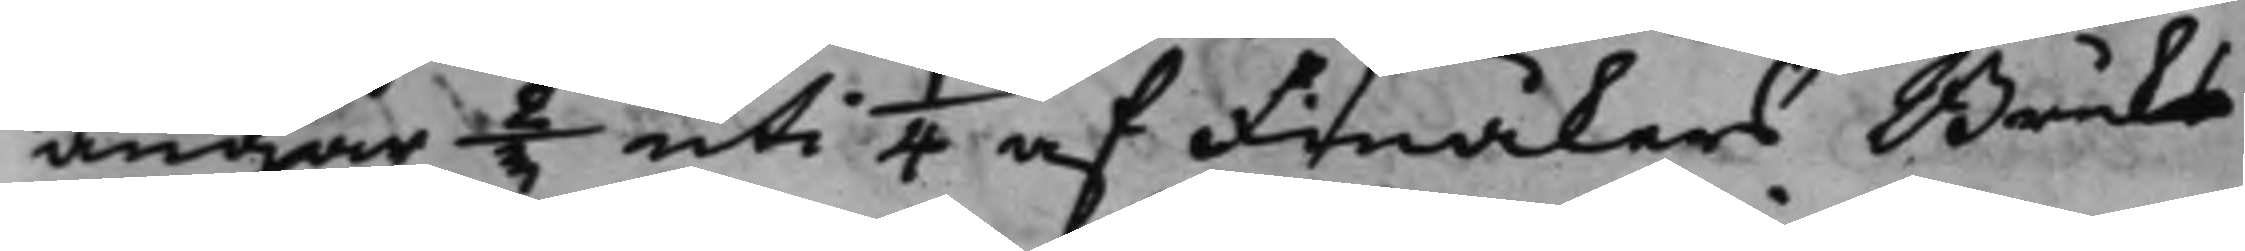angår 2/3 uti 1/4 af Finåkers Bruks
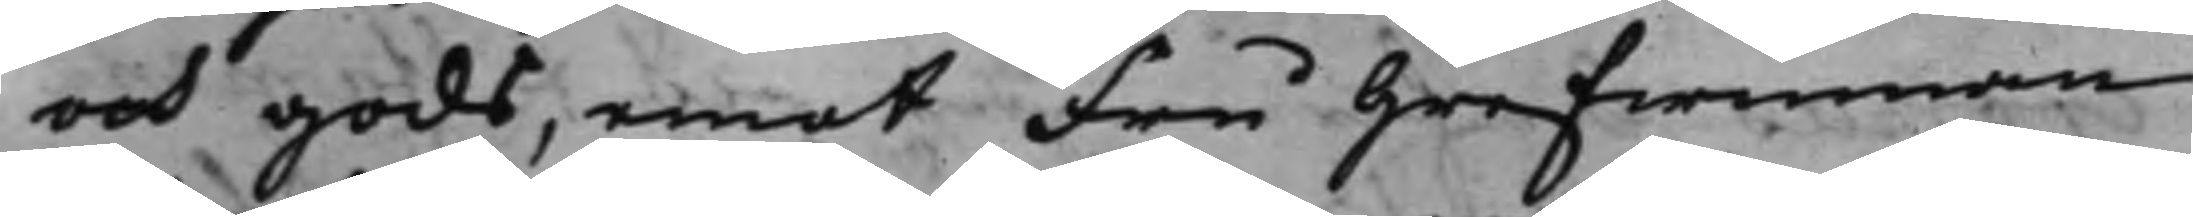och gods, emot Fru Grefwinnan
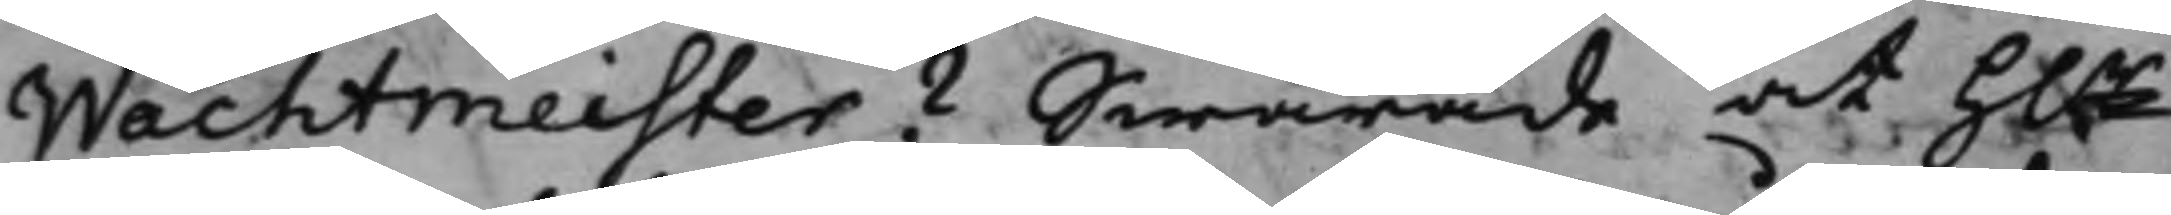Wachtmeister? Swarade at h.r
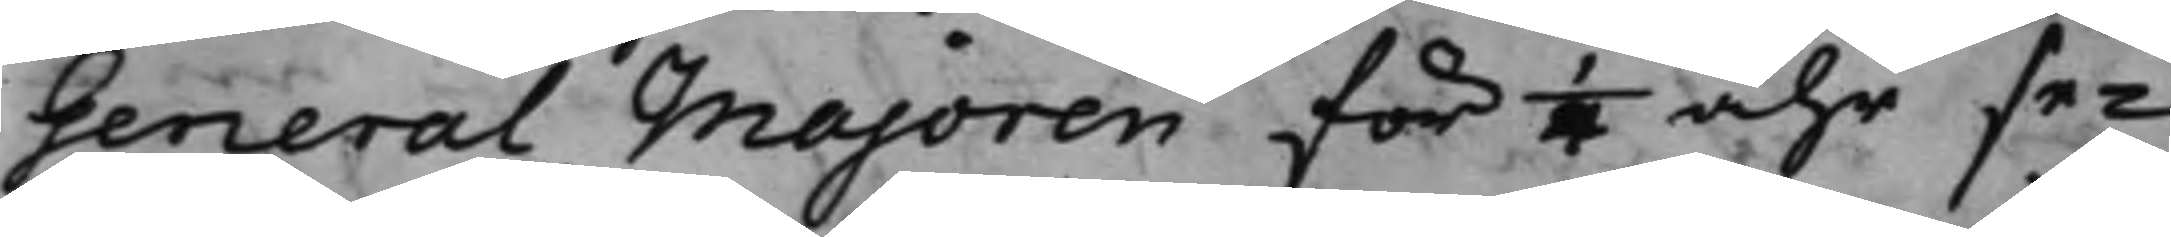General Majoren för 1/4 åhr se¬
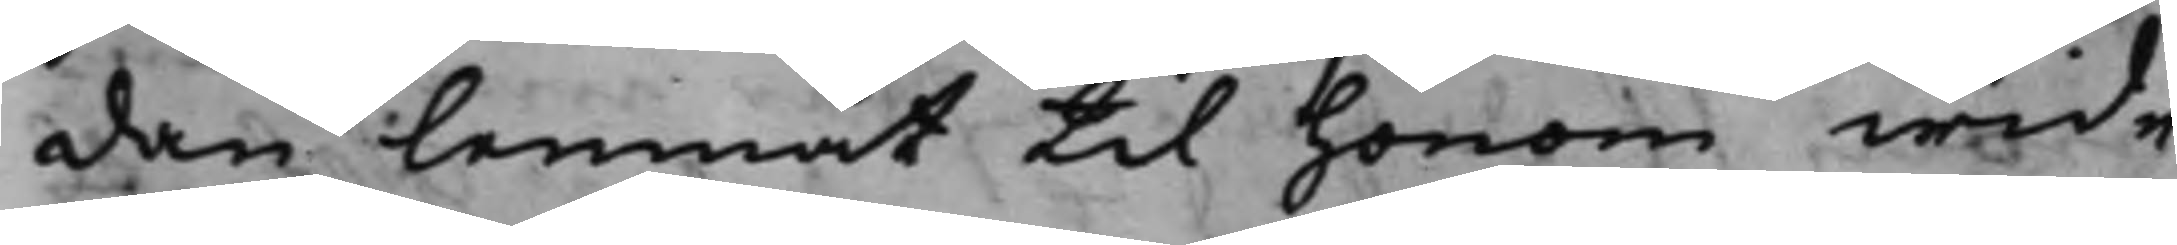dan lemnat til honom wid¬
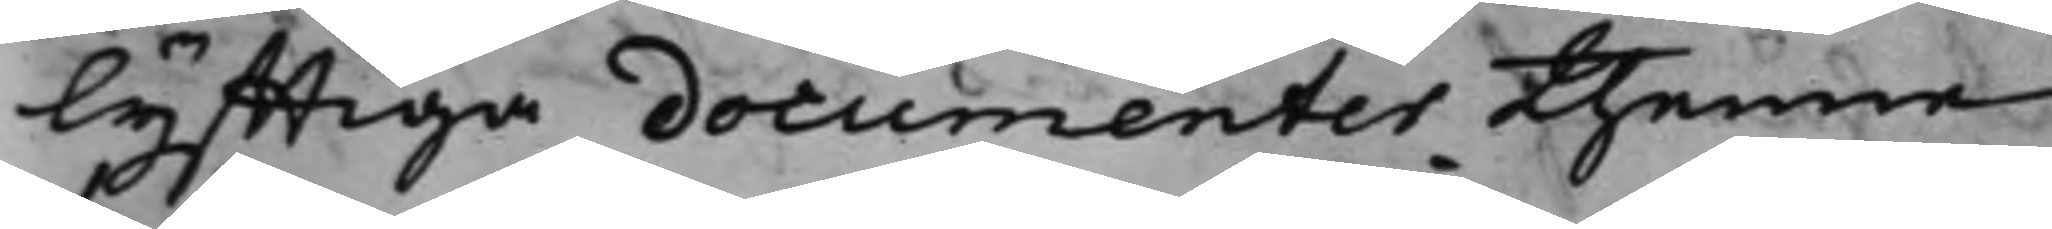lyfftiga documenter thenne
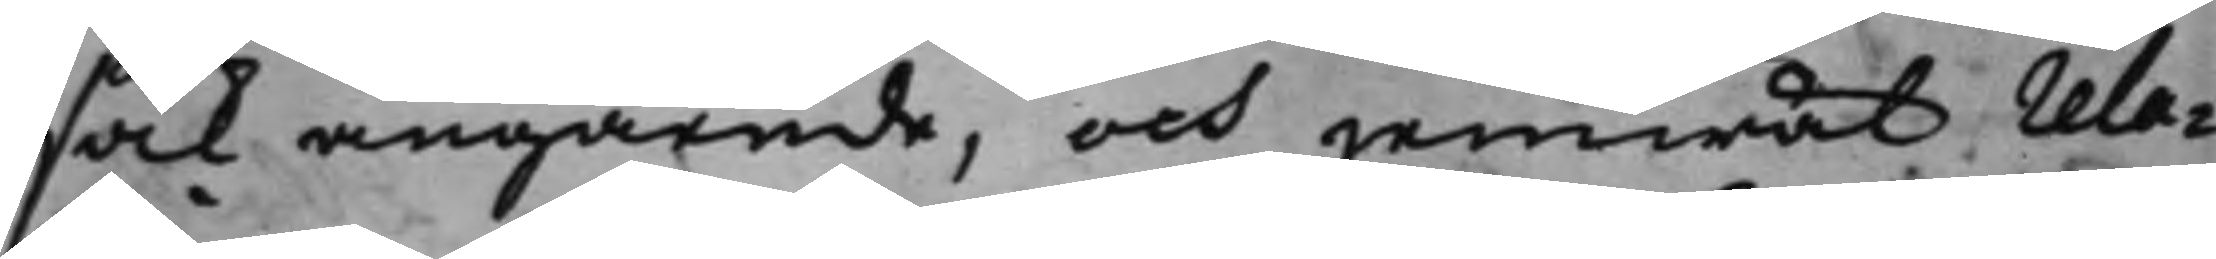sak angående, och jemwäl rela¬
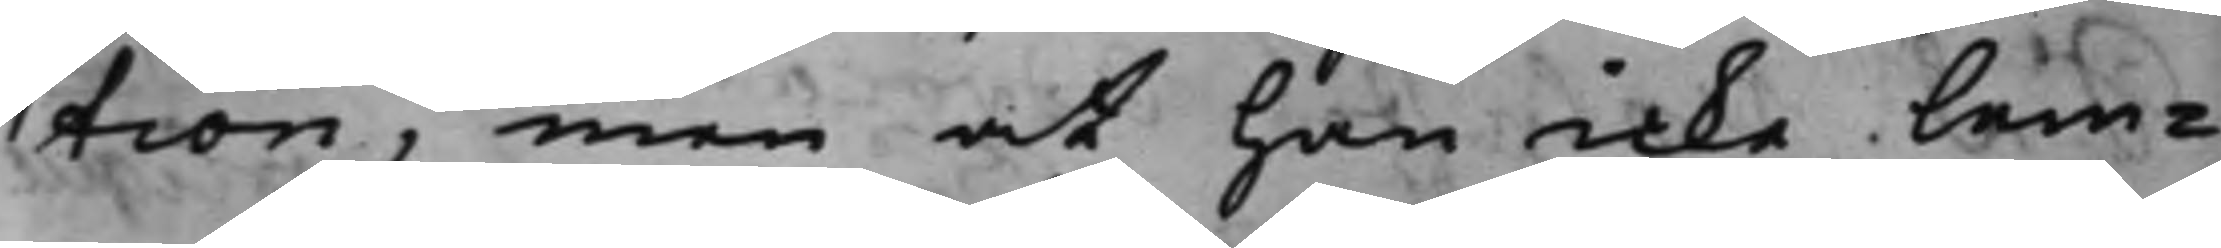tion, men at han icke lem¬
